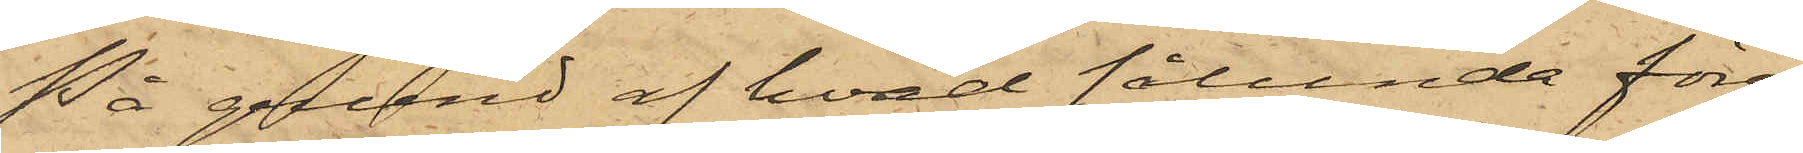På grund af hvad sålunda före¬
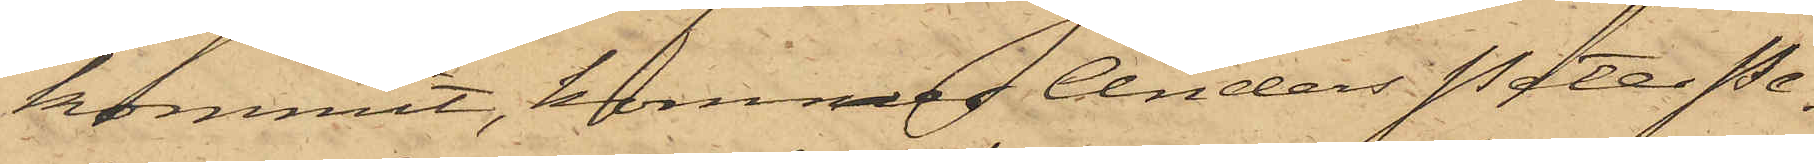kommit, kommer Anders Peter Pe¬
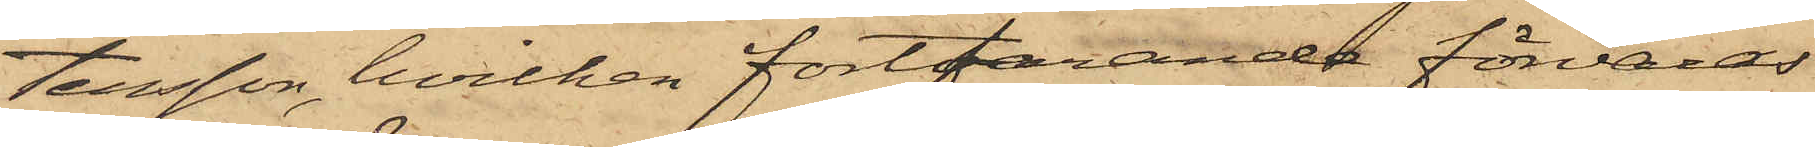tersson, hvilken fortfarande förvaras
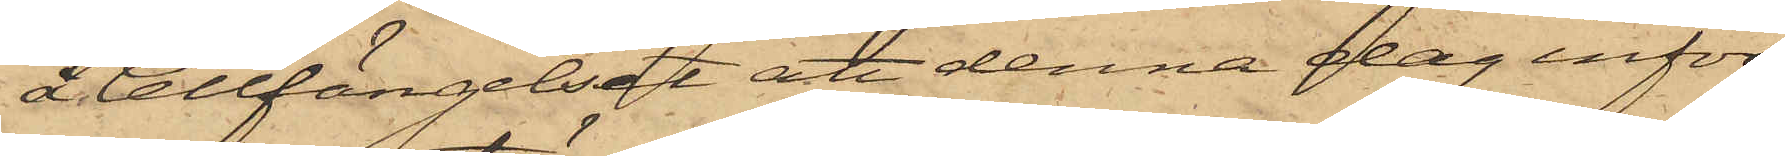Cellfängelset, att denna dag inför
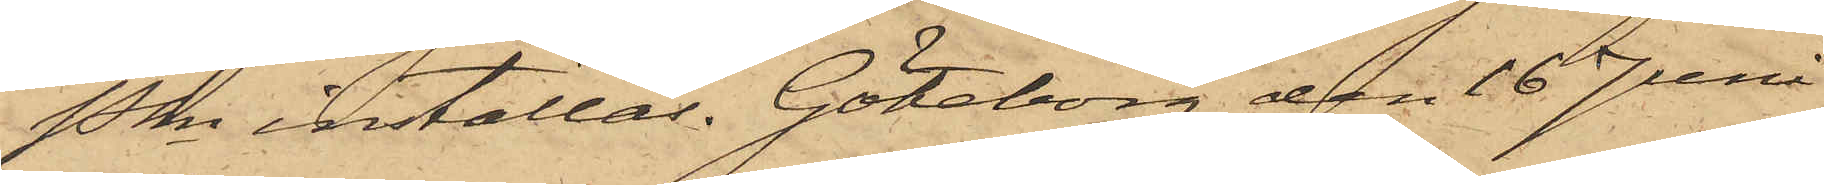Pkn inställas. Göteborg den 16 Juni
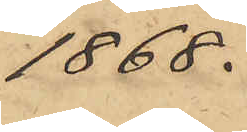1868.
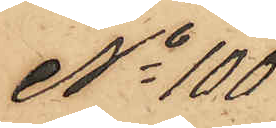No 100
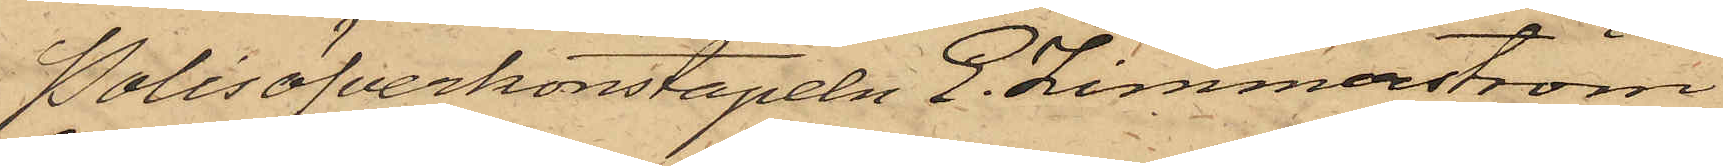Polisöfverkonstapeln E. Zimmerström
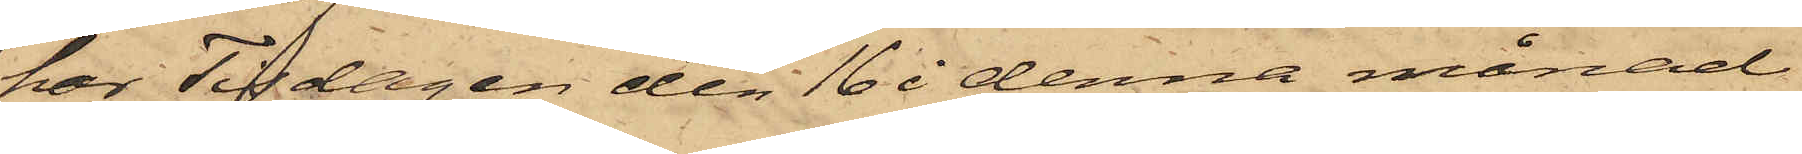har Tisdagen den 16 denna månad
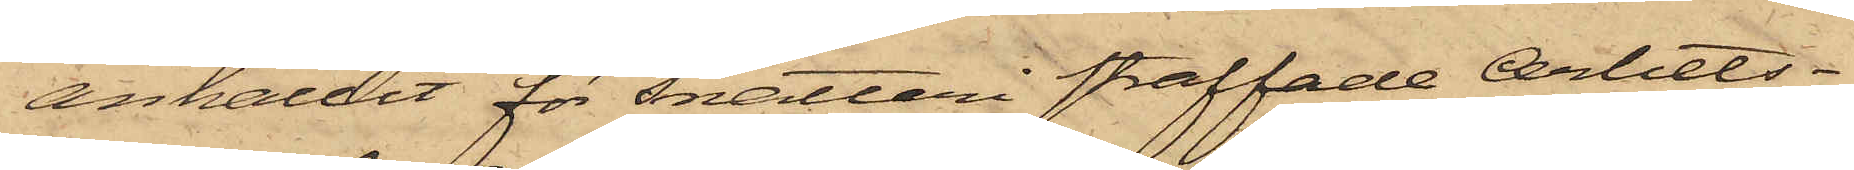anhållit för snatteri straffade Arbets¬
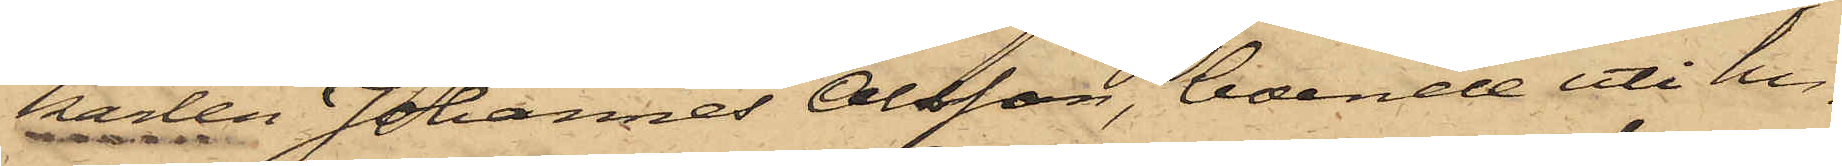karlen Johannes Olsson, boende uti hu¬
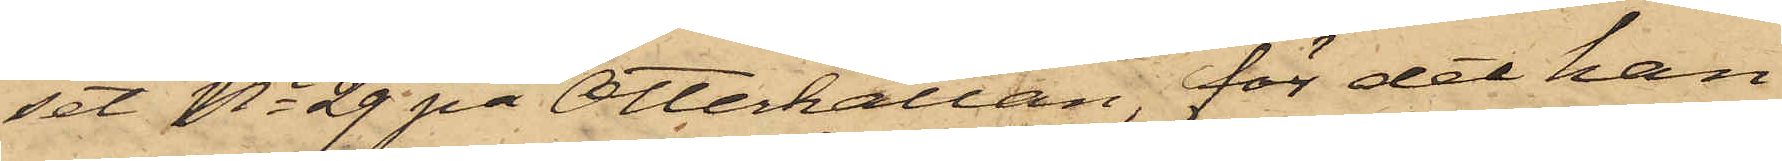set No 29 på Otterhällan, för det han
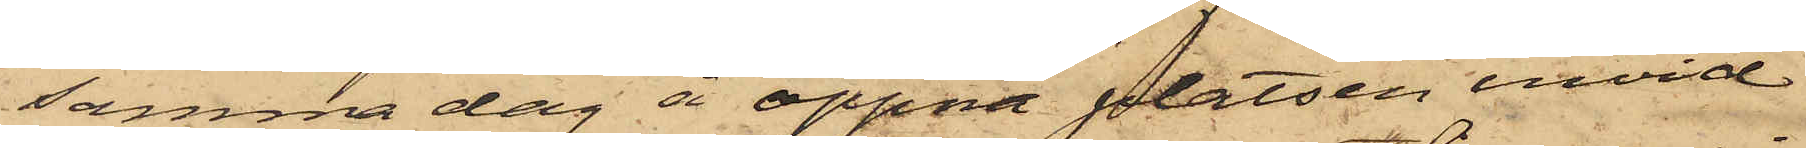samma dag å öppna platsen invid
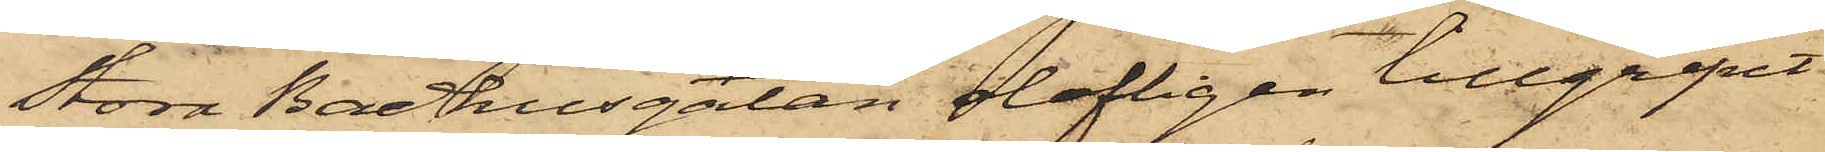Stora Badhusgatan olofligen tillgripit
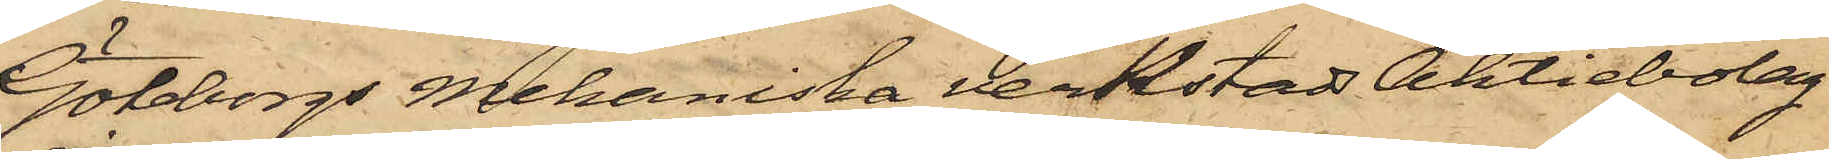Göteborgs Mekaniska verkstads Aktiebolag
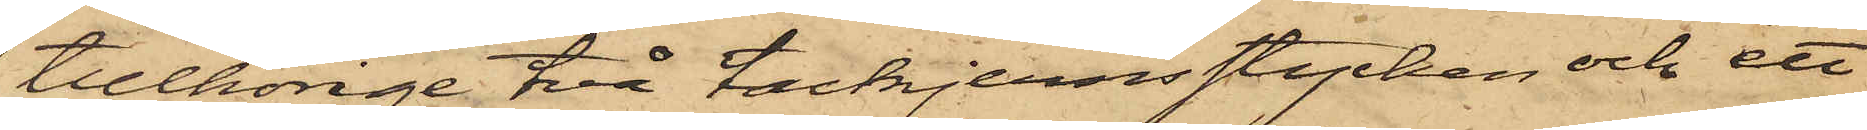tillhörige två tackjernsstycken och ett
